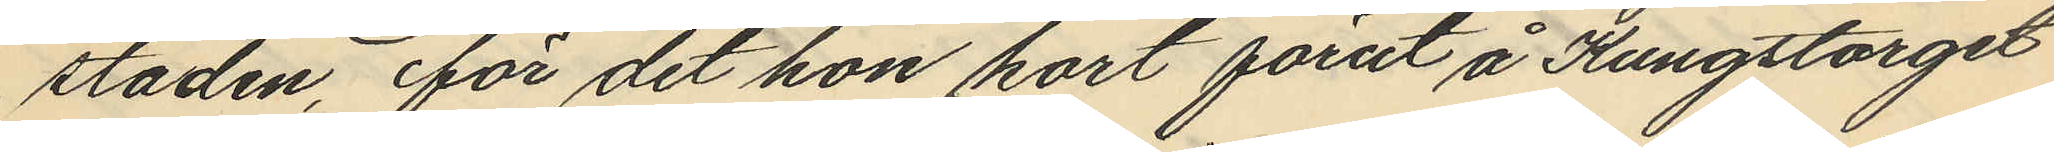staden, för det hon kort förut å Kungstorget
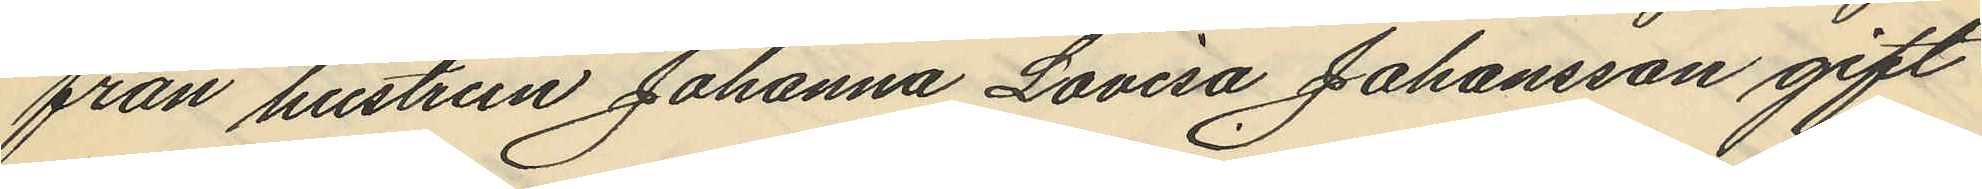från hustrun Johanna Lovisa Johansson gift
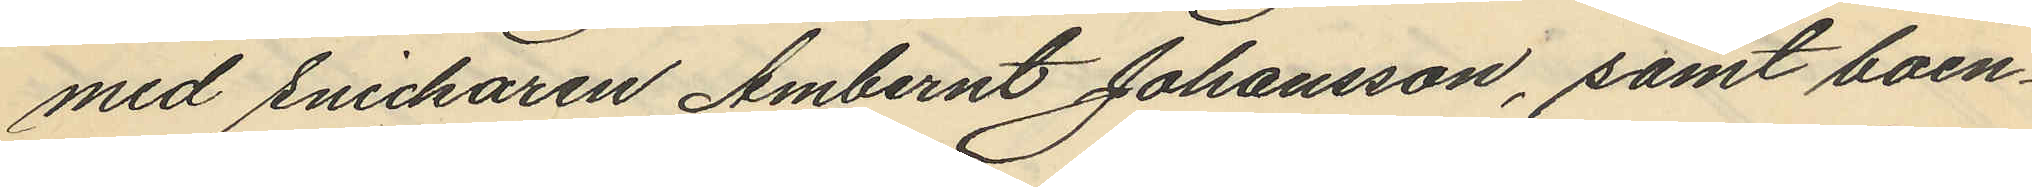med Snickaren Ambernt Johansson, samt boen¬
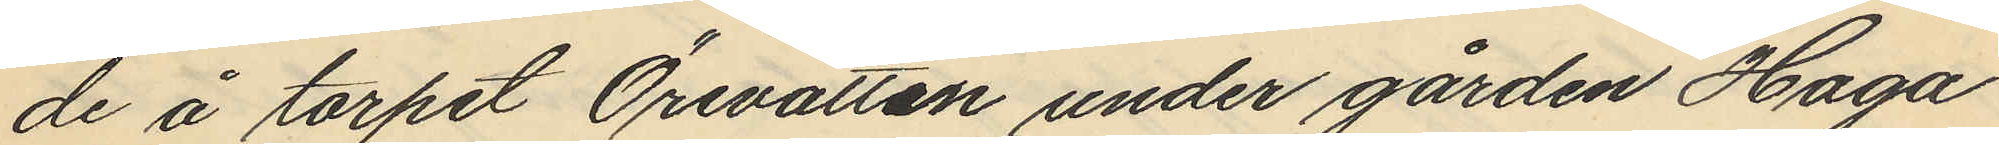de å torpet Örevatten under gården Haga
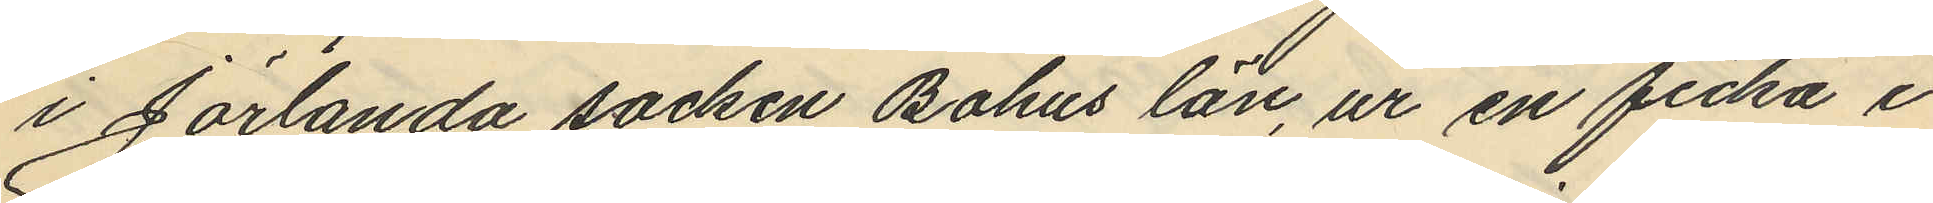i Jörlanda socken Bohus län, ur en ficka i
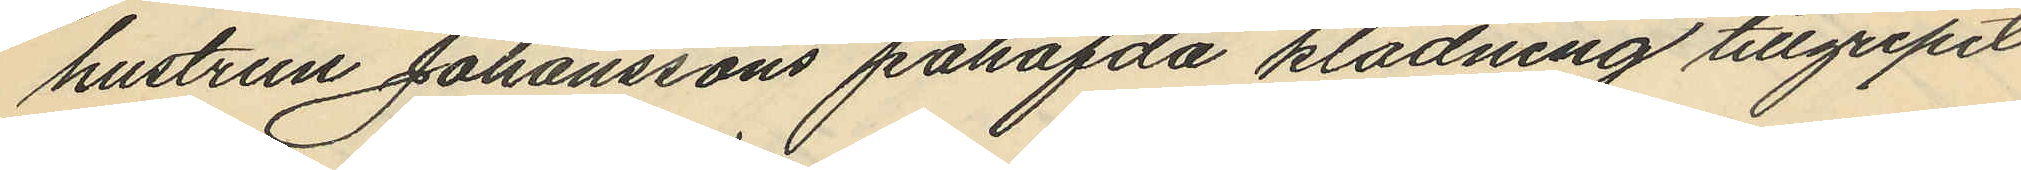hustrun Johanssons påhafvda klädning tillgripit
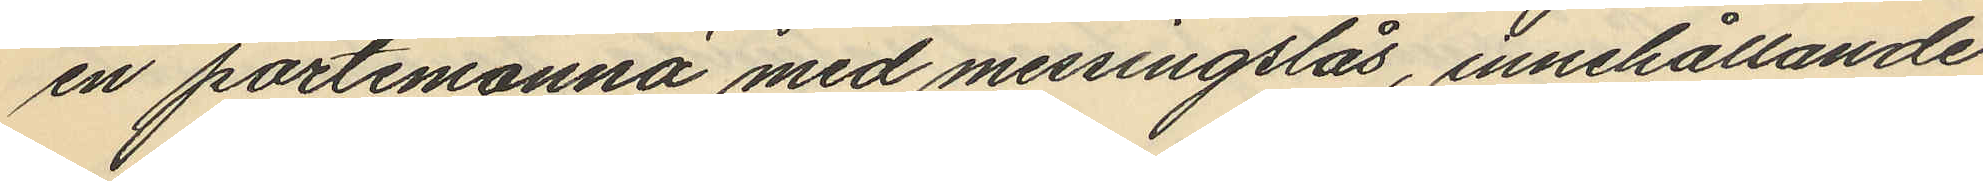en portemonnä med messingslås, innehållande
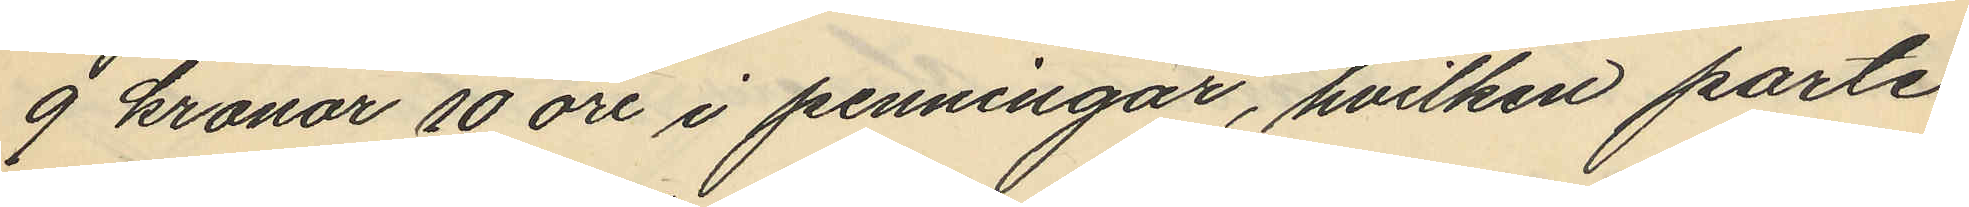9 kronor 10 öre i penningar, hvilken porte¬
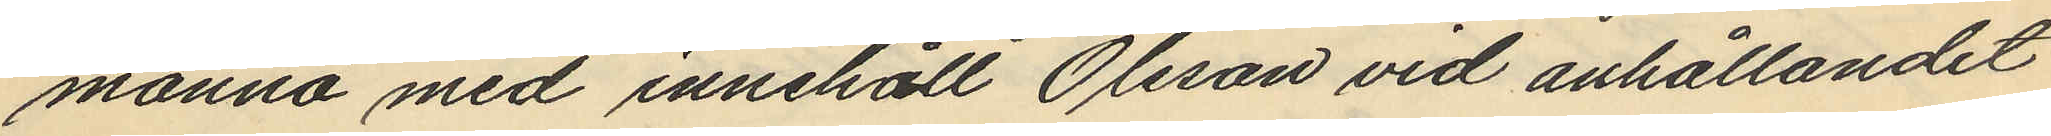monnä med innehåll Olsson vid anhållandet
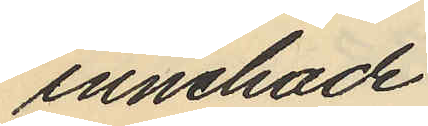innehade.
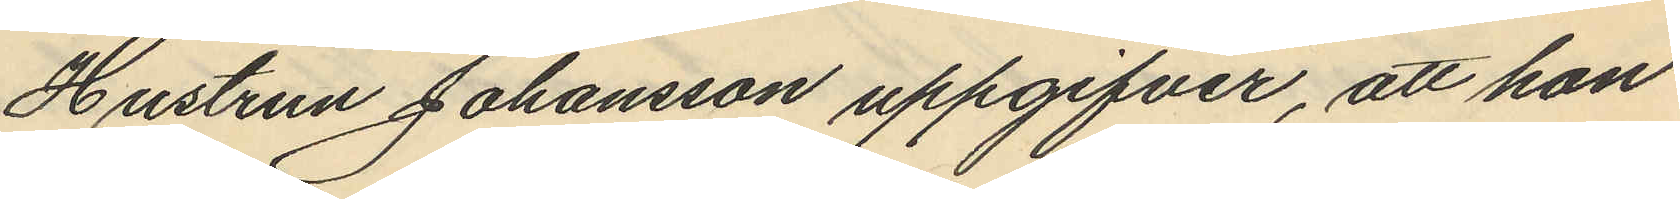Hustrun Johansson uppgifver, att hon
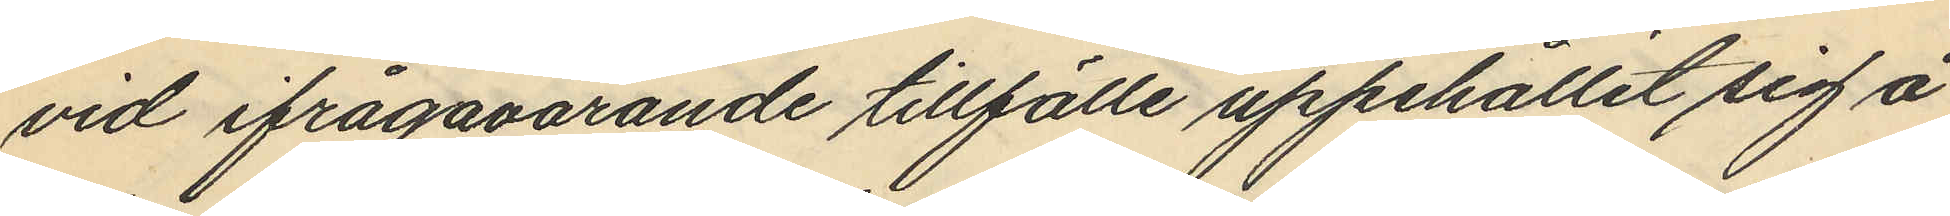vid ifrågavarande tillfälle uppehållit sig å
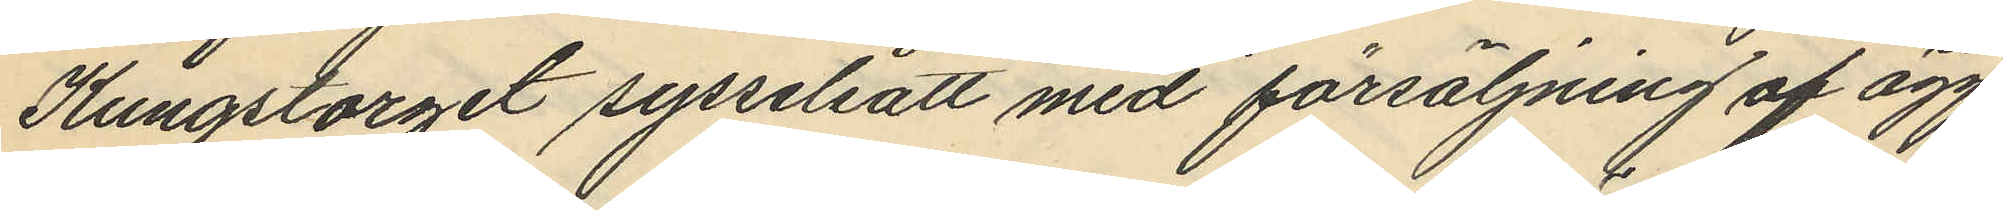Kungstorget sysselsatt med försäljning af ägg
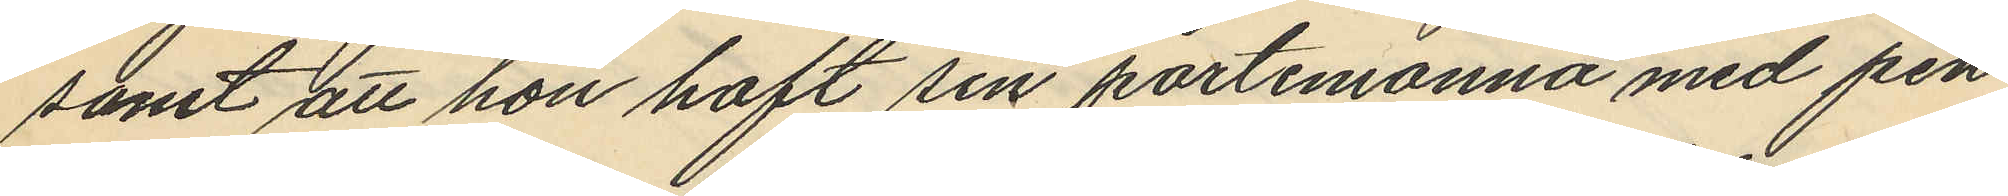samt att hon haft sin portemonnä med pen¬
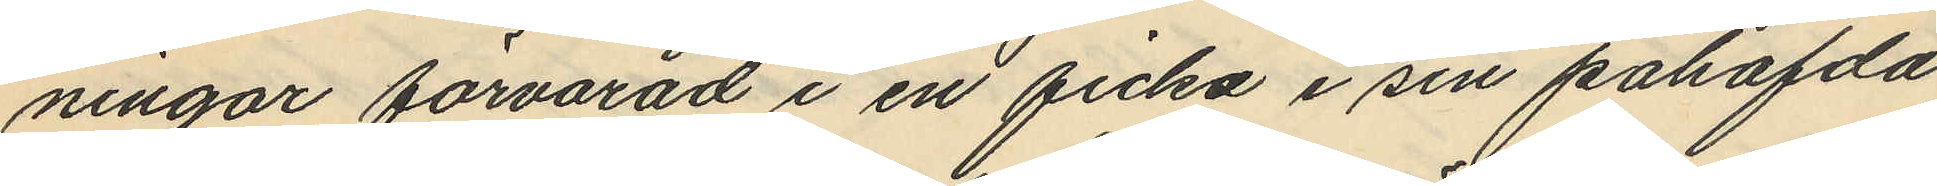ningar förvarad i en ficka i sin påhafda
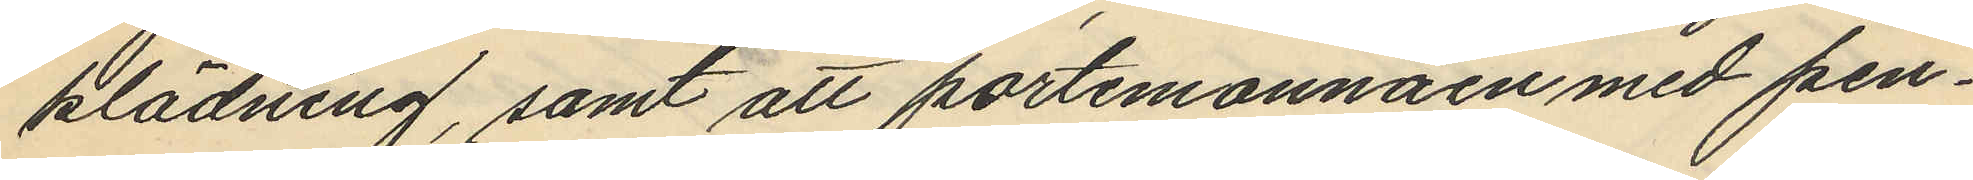klädning, samt att portemonnäen med pen¬
